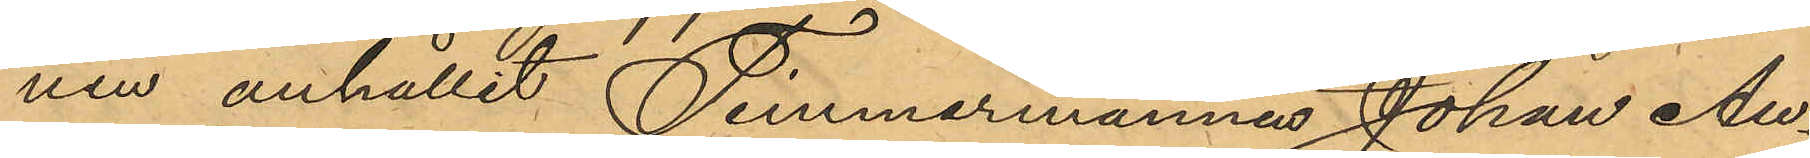nen anhållit Timmermannes Johan Au¬
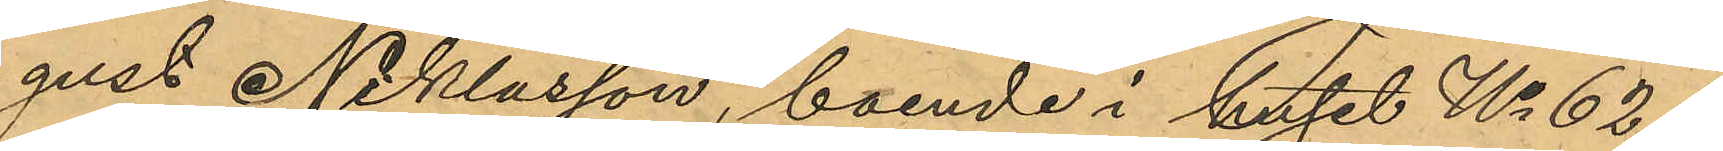gust Niklasson, boende i huset No 62 i
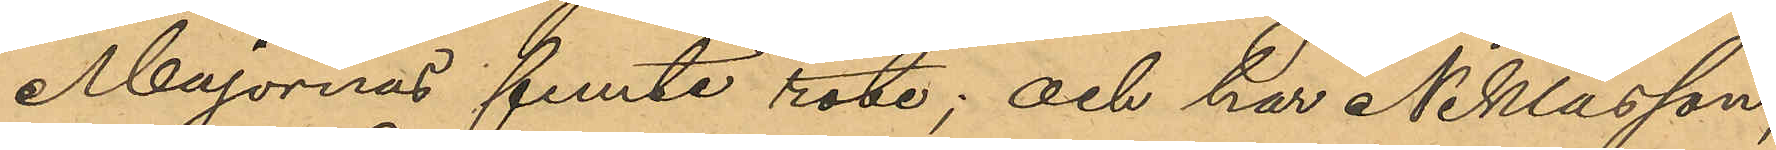Majornas femte rote; och har Niklasson,
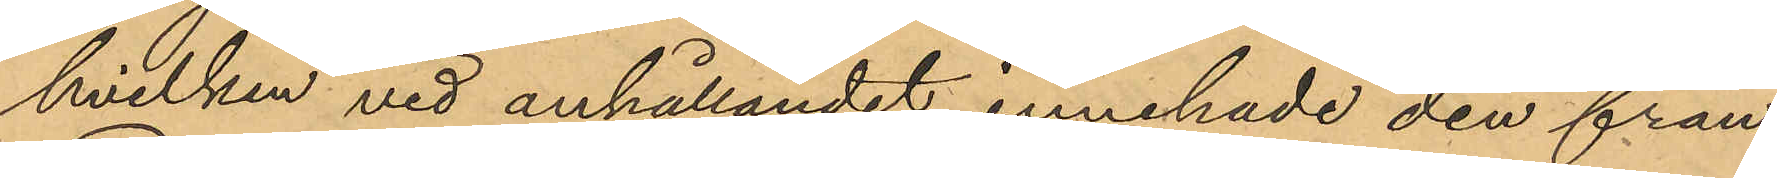hvilken vid anhållandet innehade den från
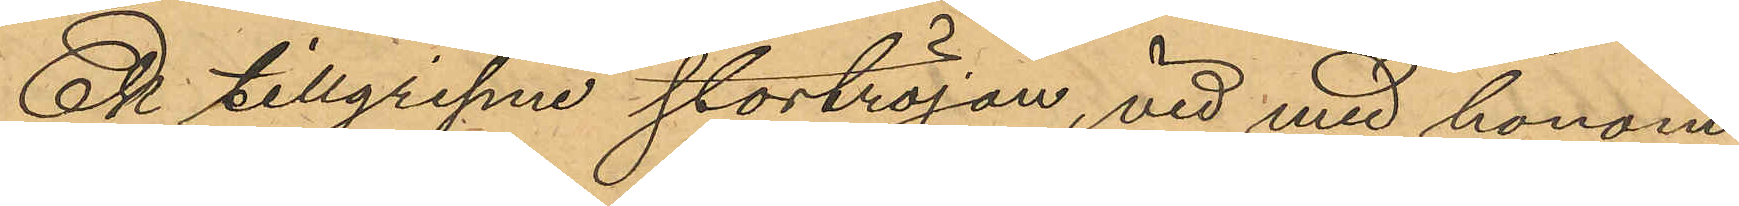Ek tillgripne stortröjan, vid med honom
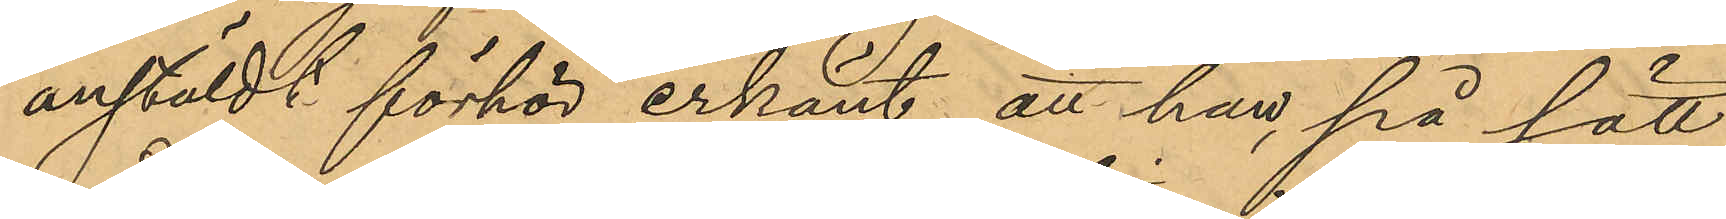anstäldt förhör erkänt, att han, på sätt
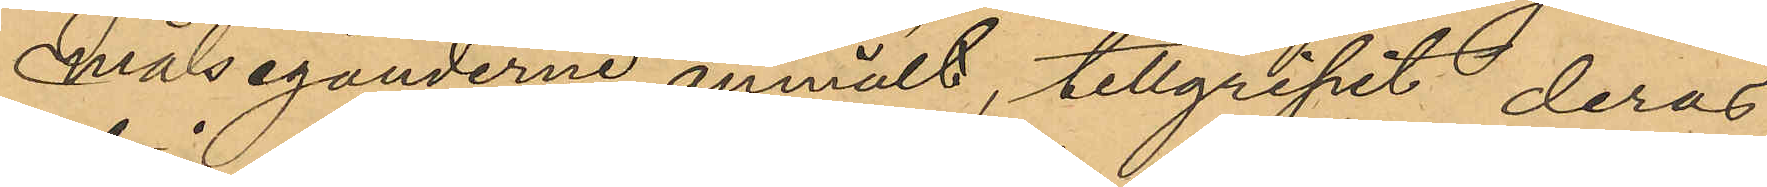Målseganderne anmält, tillgripit deras
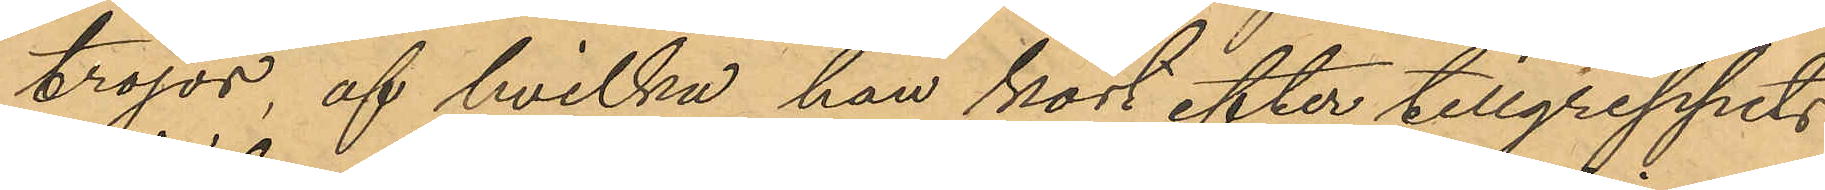tröjor, af hvilka han kort efter tillgreppets
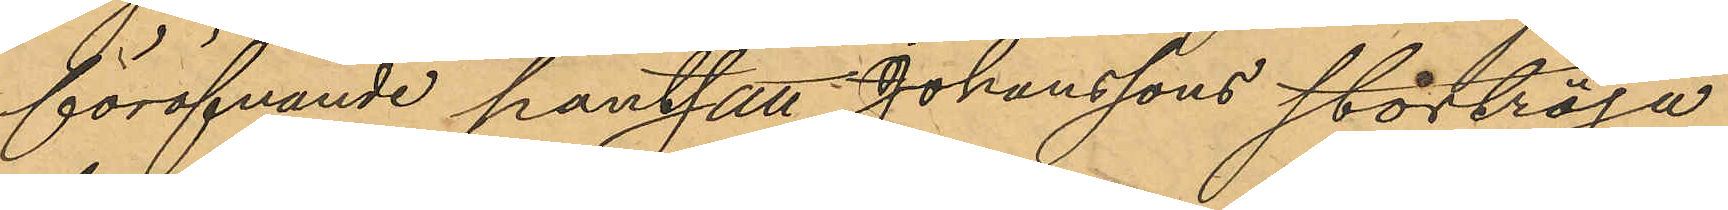föröfvande pantsatt Johanssons stortröja
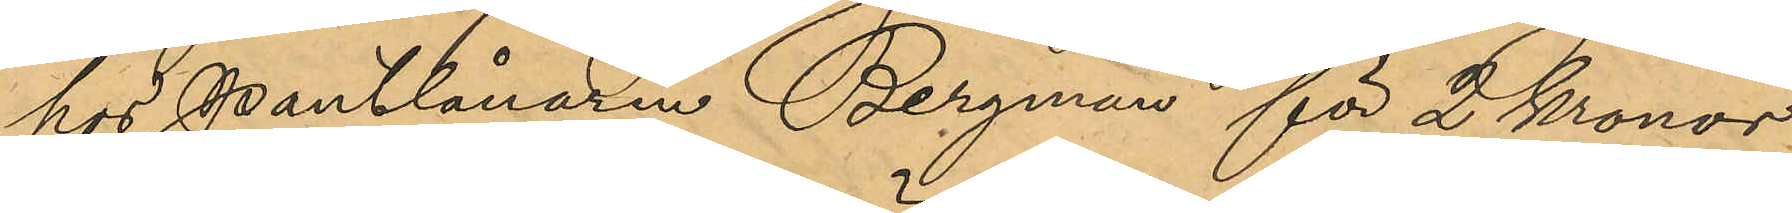hos Pantlånaren Bergman för 2 Kronor
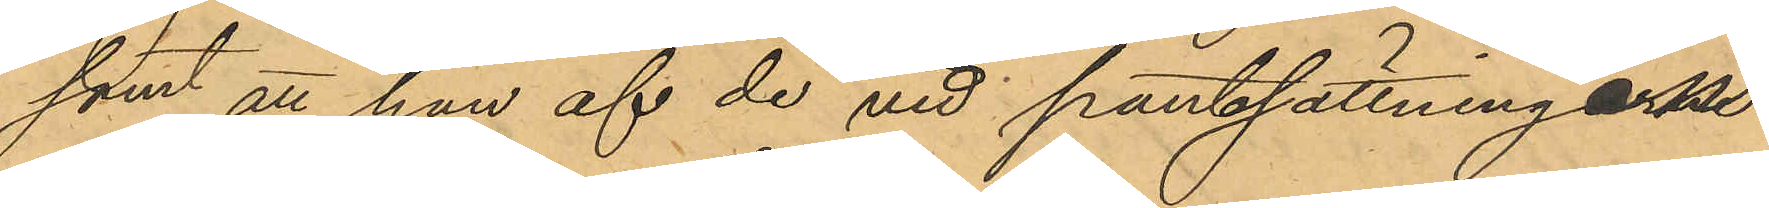samt att han af de vid pantsättningaens
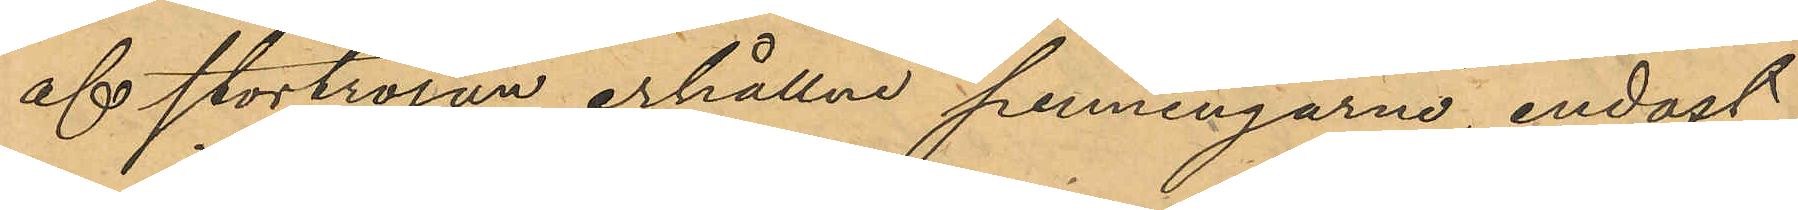af stortröjan erhållne penningarne, endast
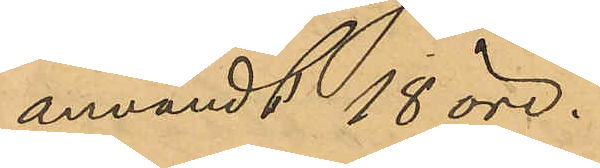användt 18 öre.
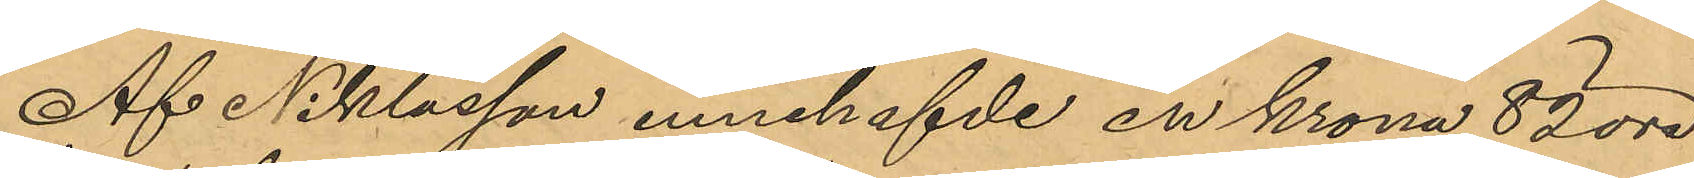Af Niklasson innehafvde en krona 82 öre
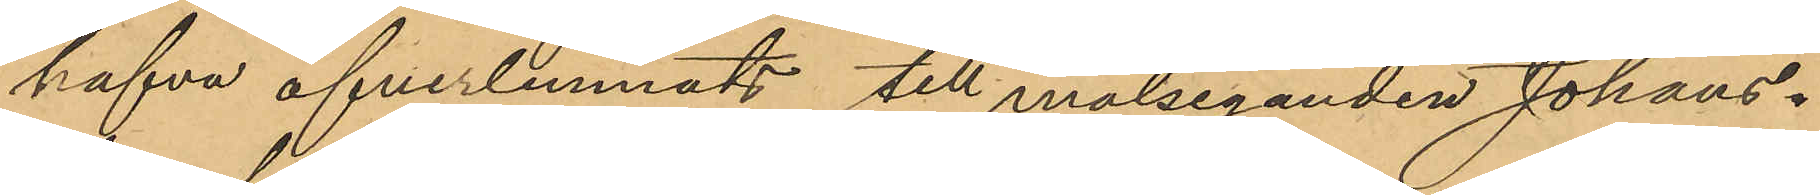hafva öfverlemnats till målseganden Johans¬
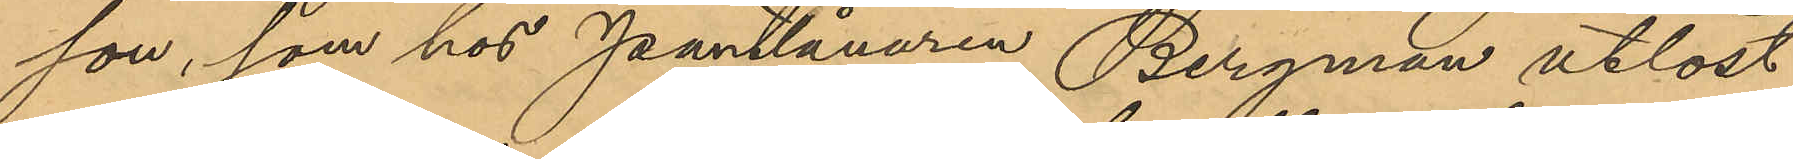son, som hos Pantlånaren Bergman utlöst
